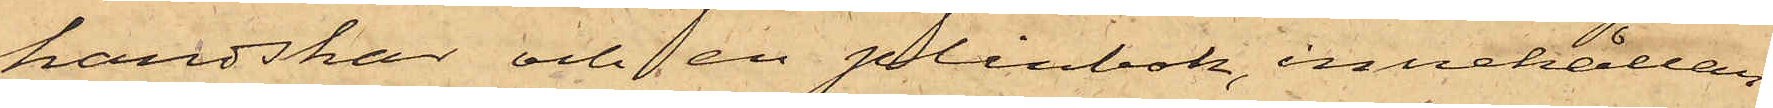handskar och en plånbok, innehållan¬
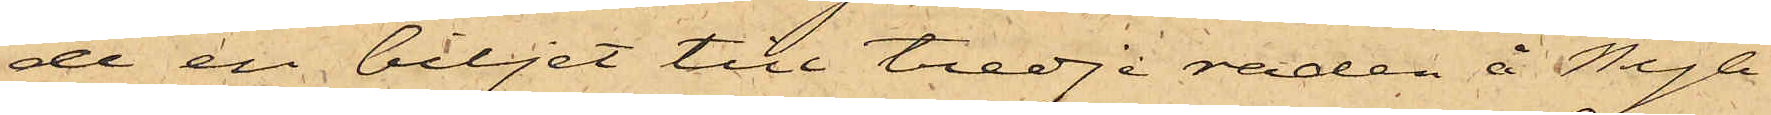de en biljet till tredje raden å Nya
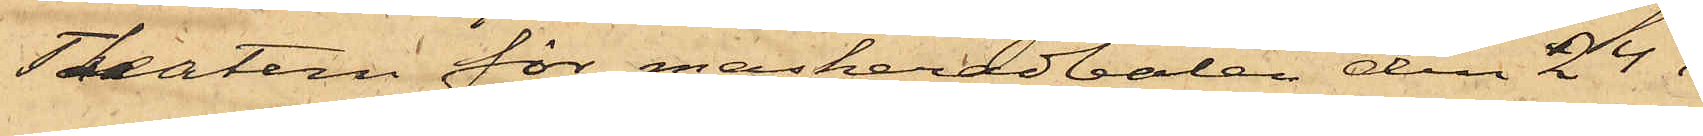Theatern för maskeradbalen den 24 i
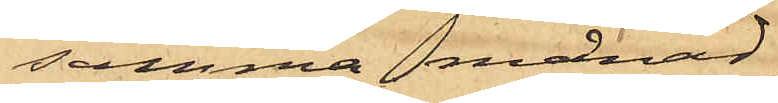samma månad;
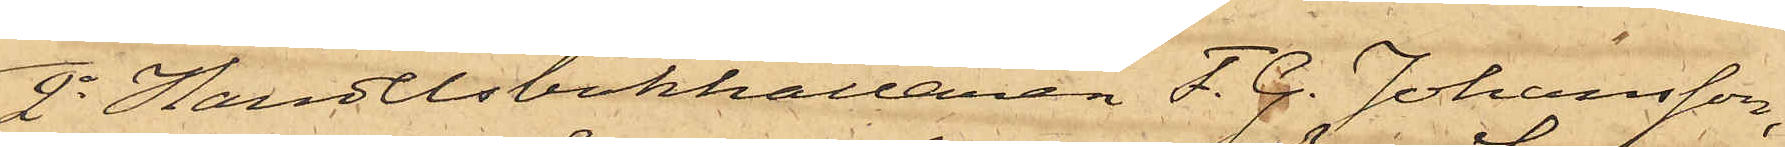2o Handelsbokhållaren F. G. Johansson,
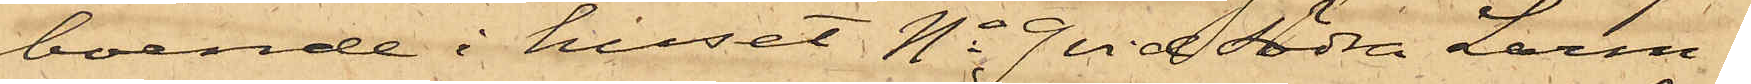boende i huset No 9 vid Södra Larm¬
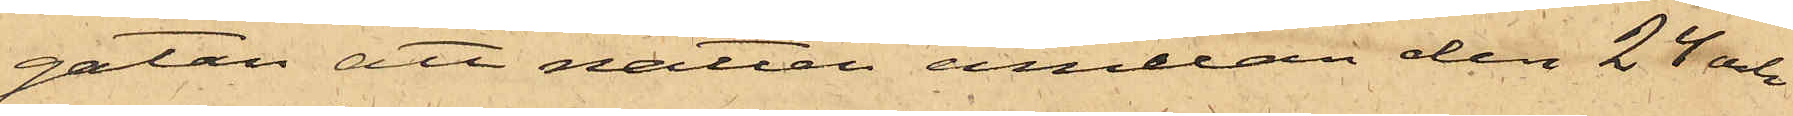gatan att natten emellan den 24 och
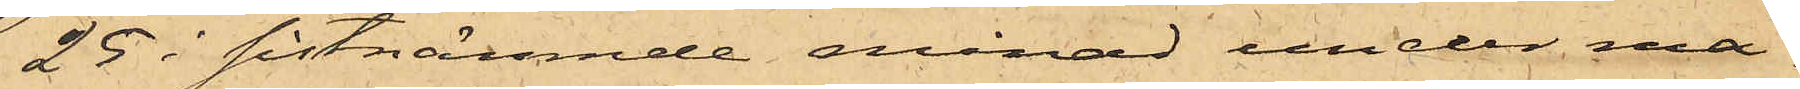25 i sistnämnde månad under ma¬
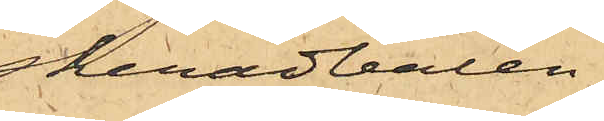skeradbalen
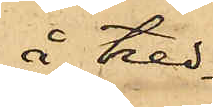å tred¬
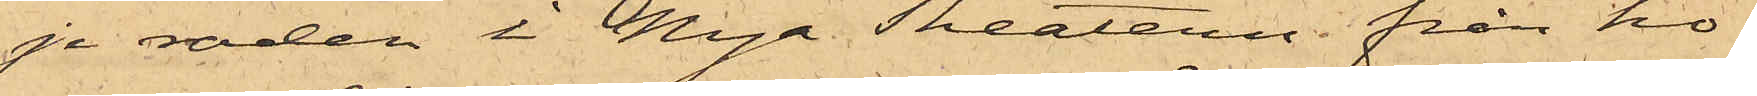je raden i Nya Theatern från ho¬
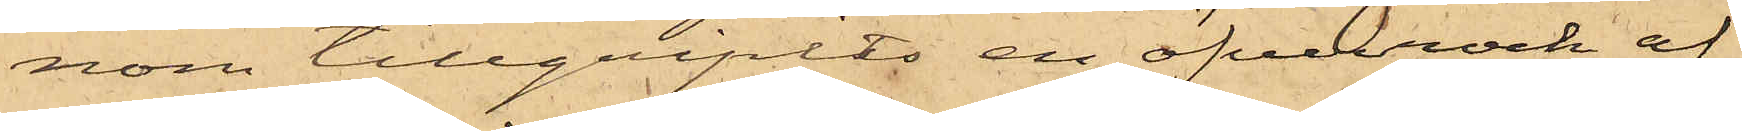nom tillgripits en öfverrock af
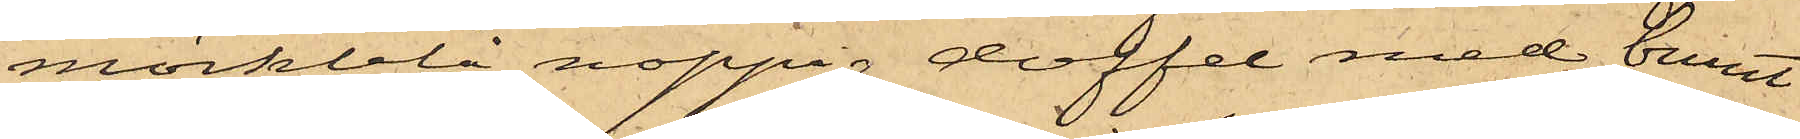mörkblå noppig doffel med brunt
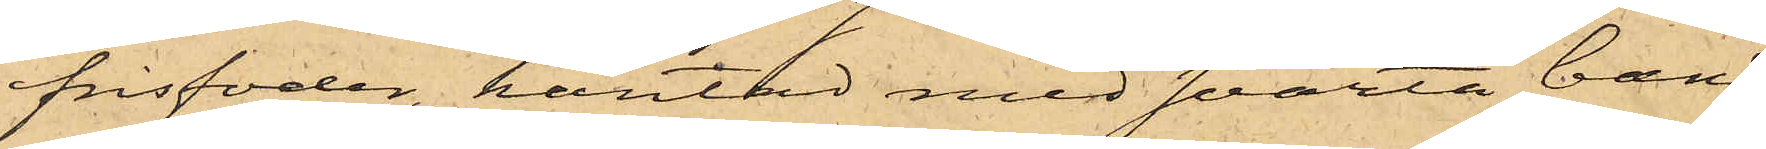frisfoder, kantad med svarta band
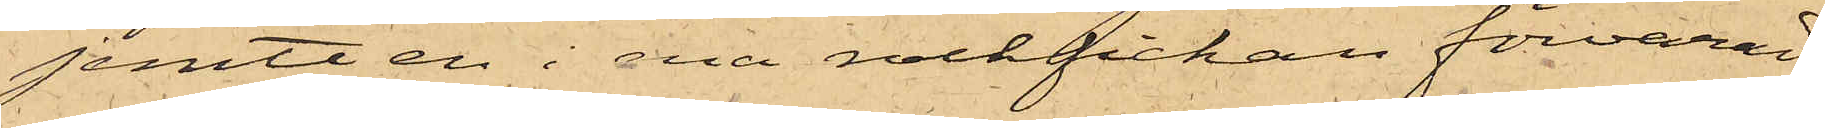jemte en i ena rockfickan förvarad
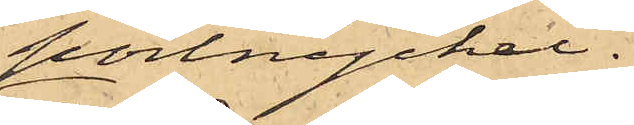portnyckel.
